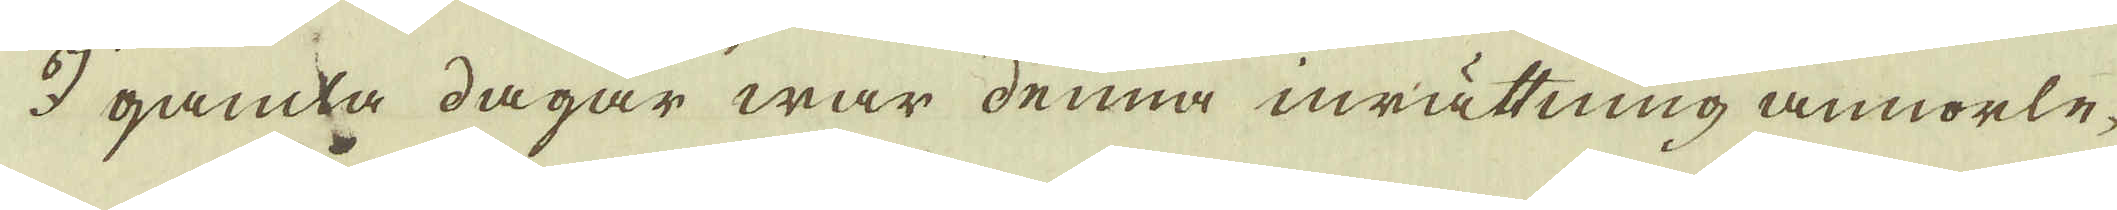I gamla dagar war denna inrättning annorle-
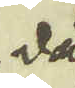då
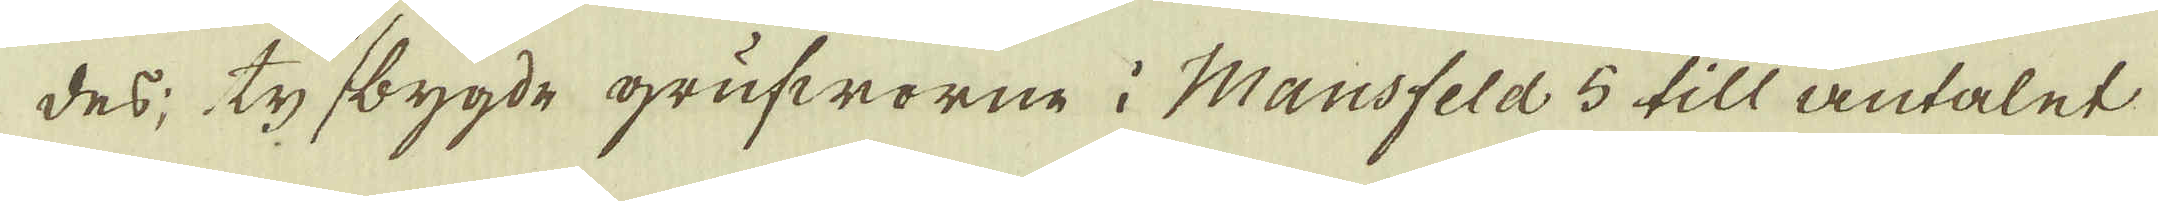des; ty bygde grufworne i Mansfeld 5 till antalet
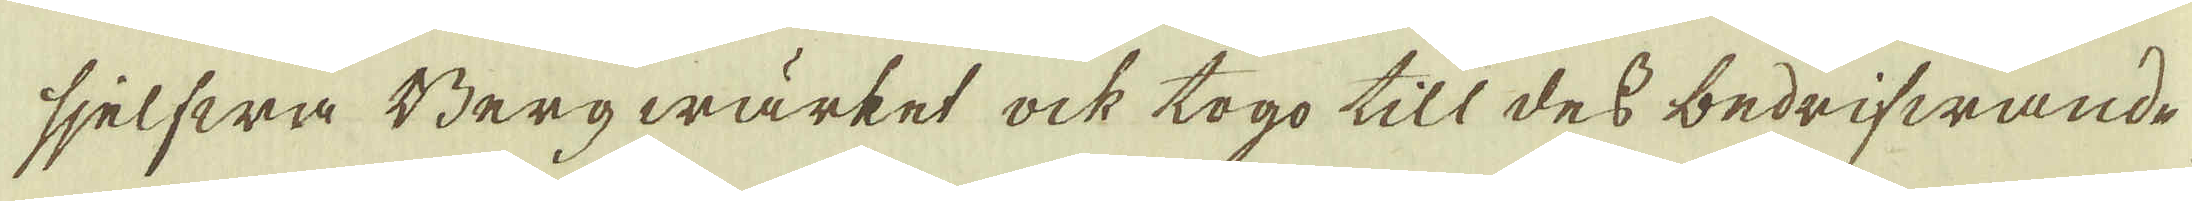sjelfwa Bergwärket ock togo till des bedrifwande
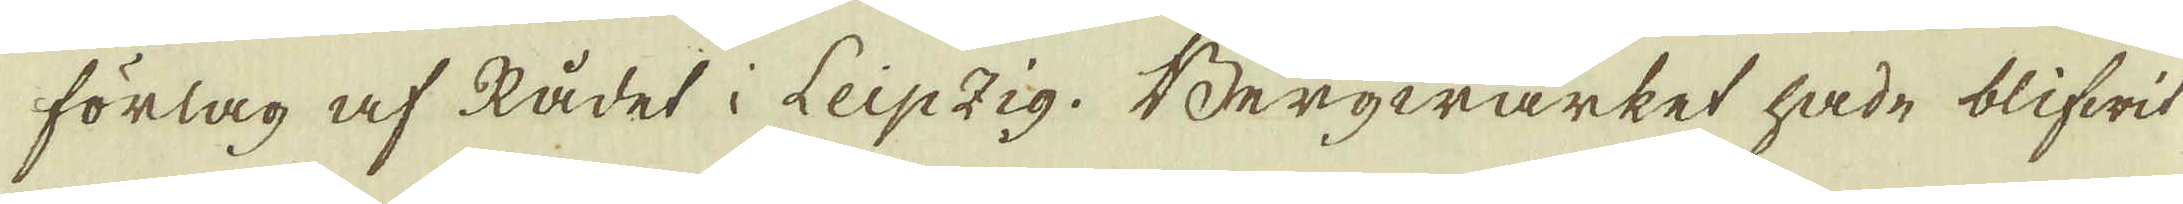förlag af Rådet i Leipzig. Bergwärket hade blifwit
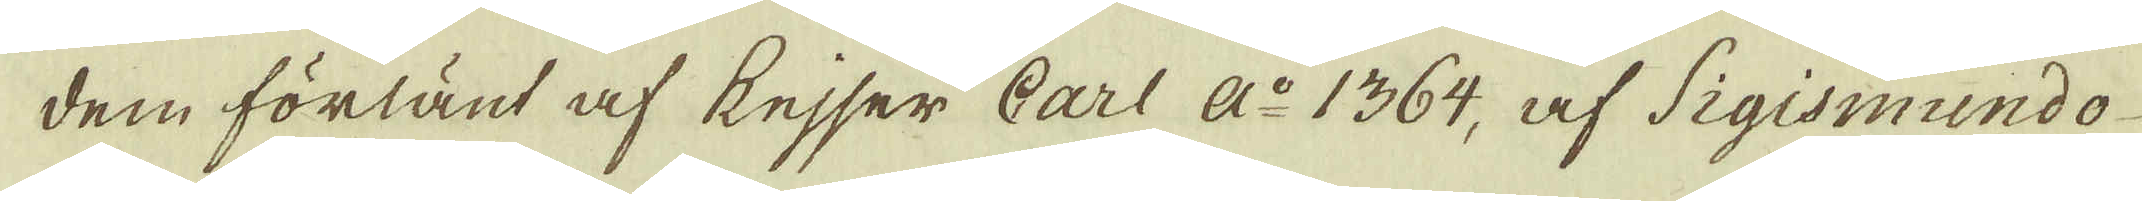dem förlänt af kejser Carl Ao 1364, af Sigismundo
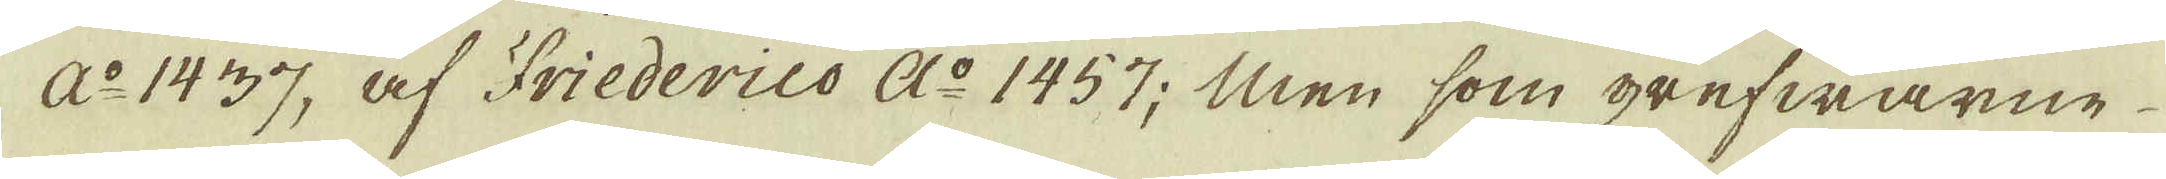Ao 1437, af Friederico Ao 1457; Men som grefwarne
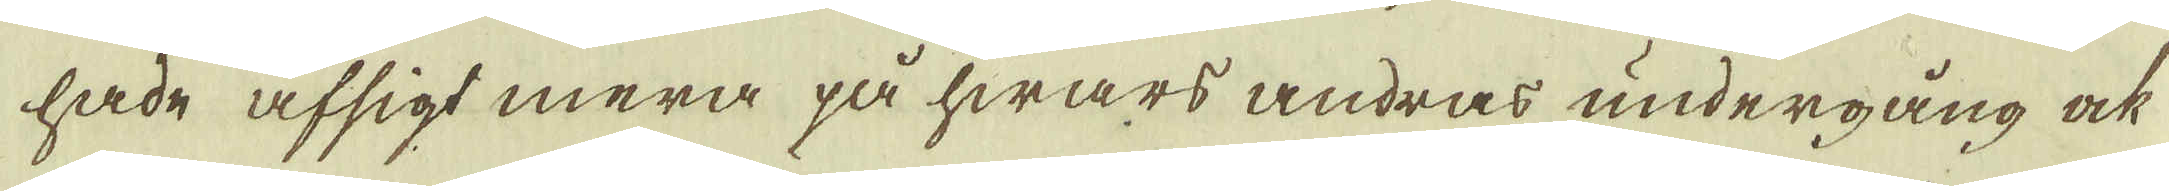hade afsigt mera på hwars andras undergång ock
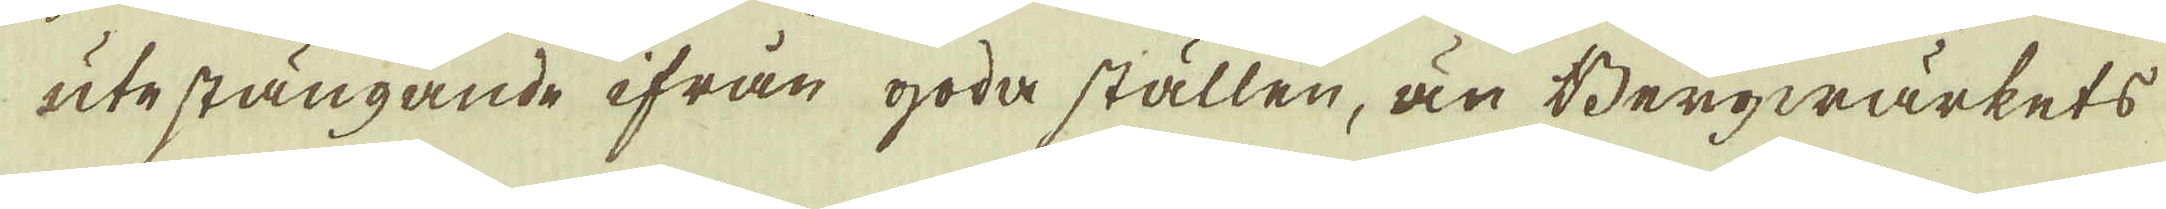utestängande ifrån goda ställen, än Bergwärkets
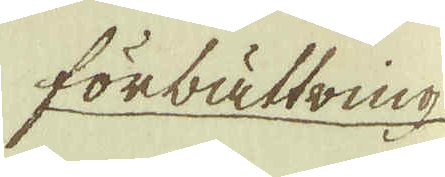förbättring
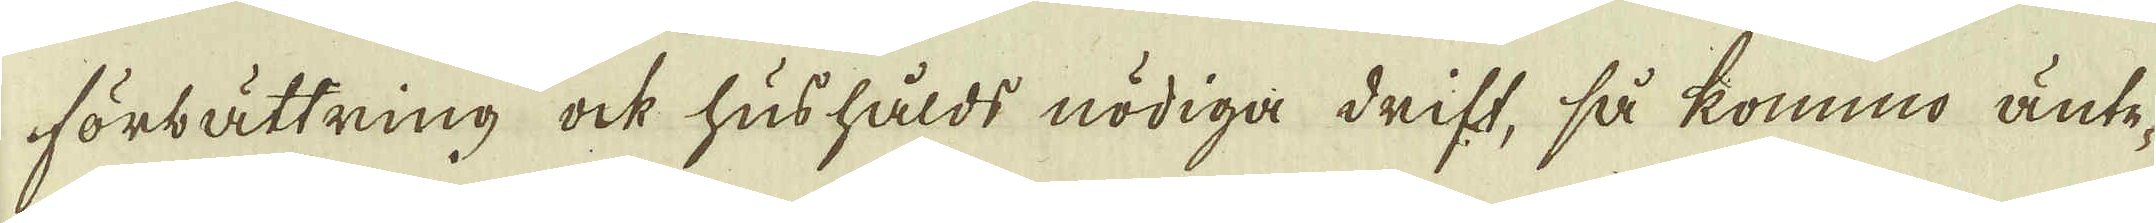förbättring ock hushålds nödiga drift, så kommo änte-
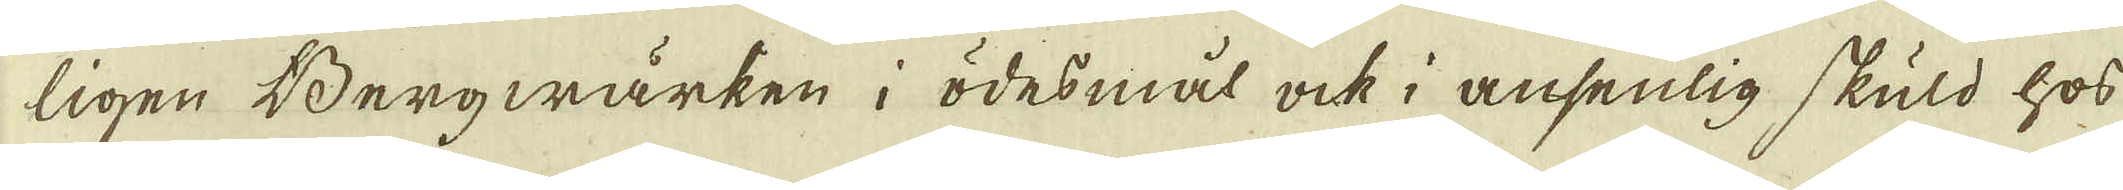ligen Bergwärken i ödesmål ock i ansenlig skuld hos
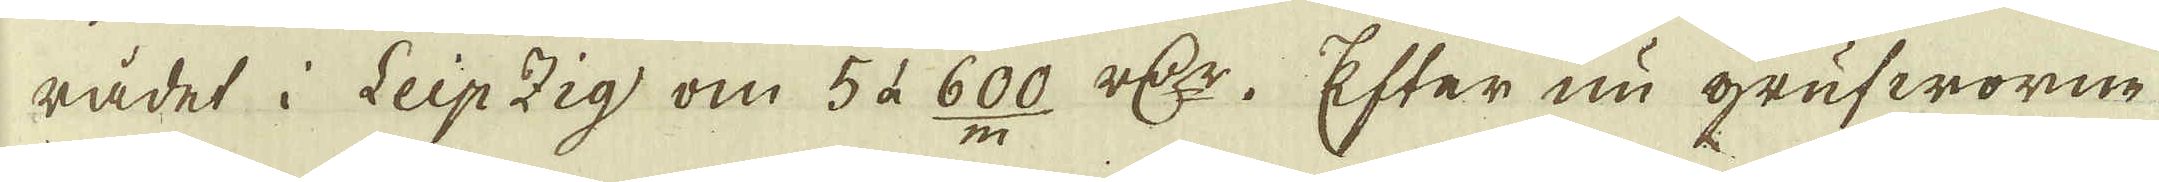rådet i Leipzig om 5 à 600 r:dr. Efter nu grufworne
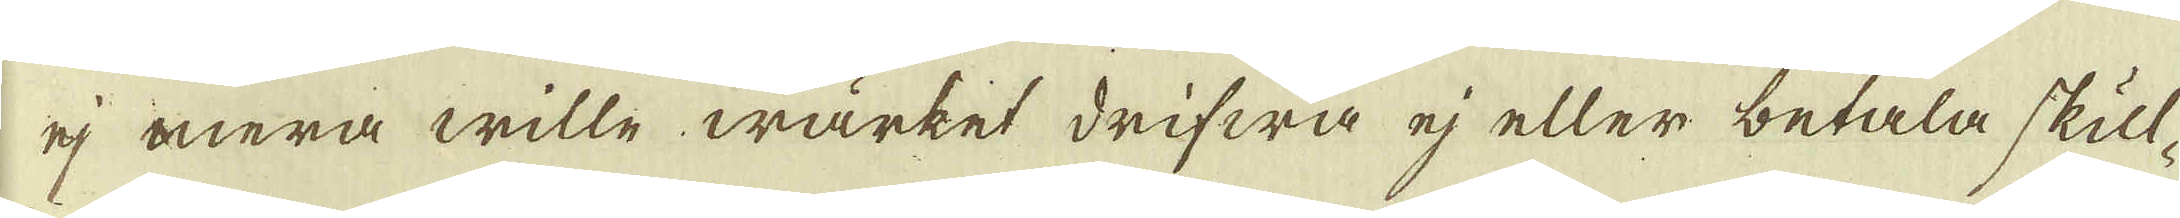ej mera wille wärket drifwa ej eller betala skul-
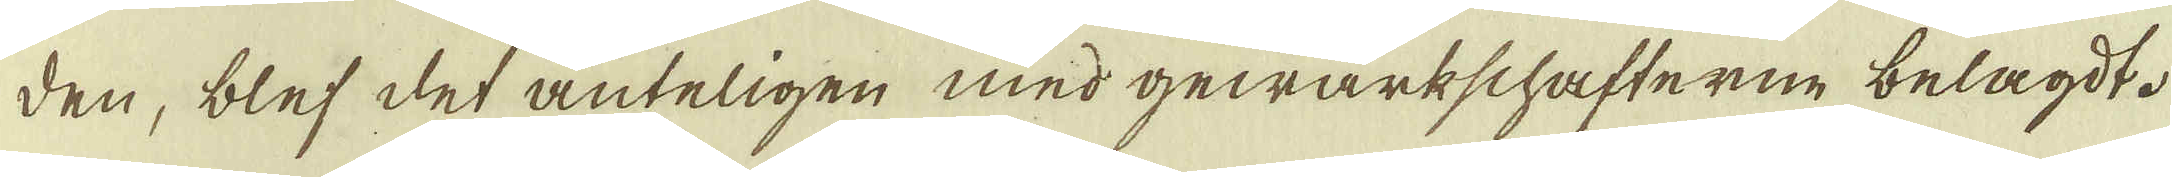den, blef det änteligen med gewärkschafterne belagdt.
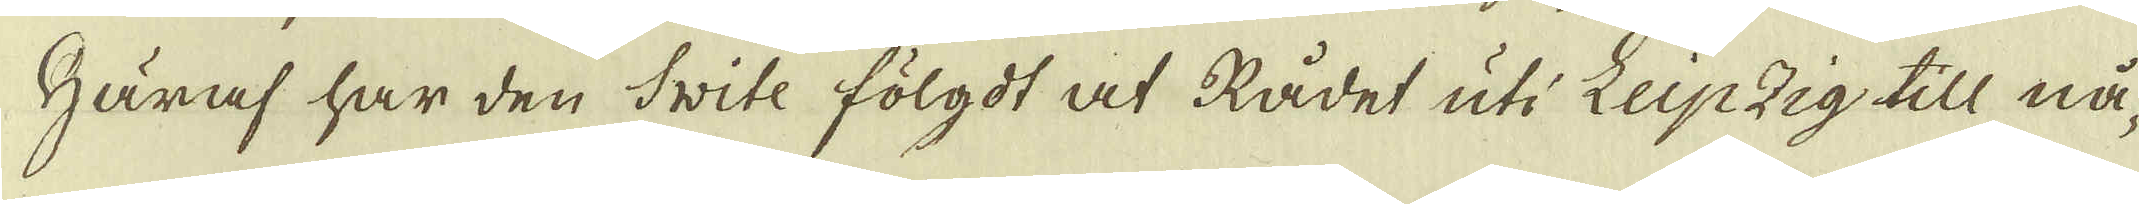Häraf har den Svite fölgdt at Rådet uti Leipzig till nå-
